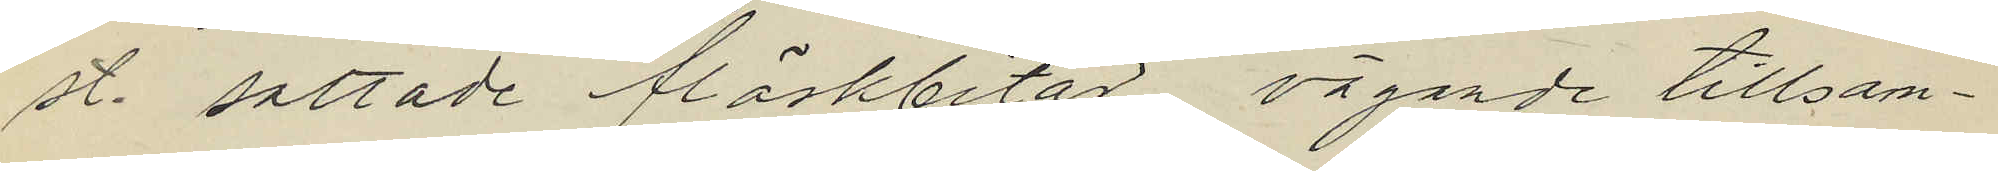st. saltade fläskbitar vägande tillsam¬
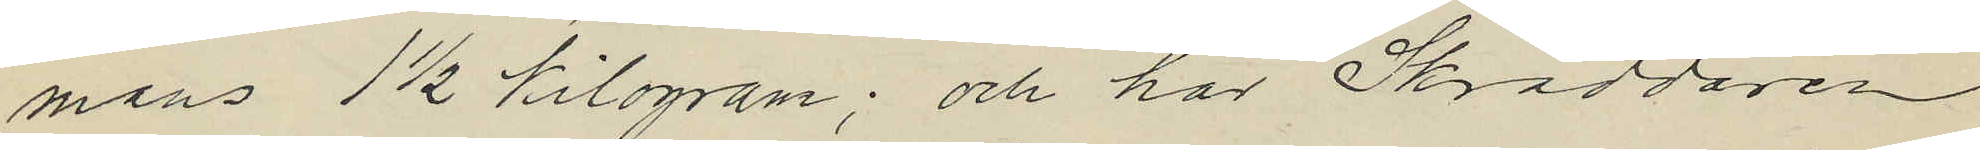mans 1½ kilogram; och har Skräddaren
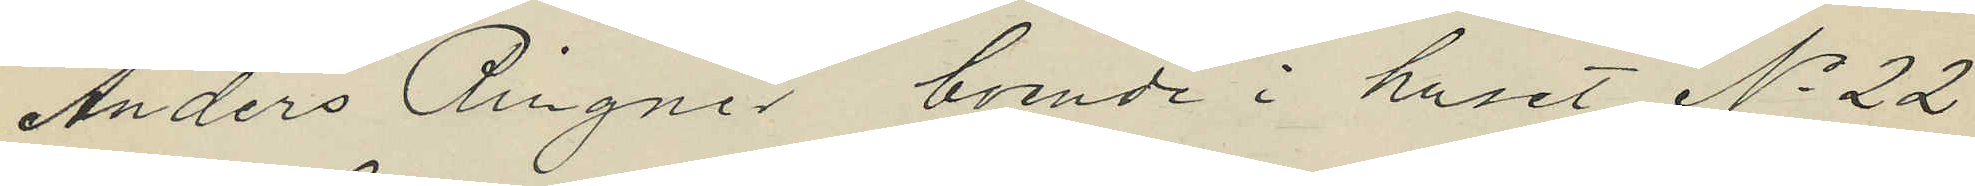Anders Ringnér, boende i huset No 22
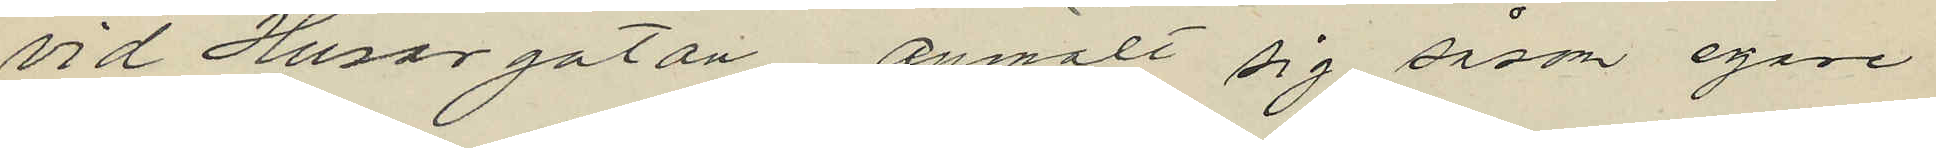vid Husargatan, anmält sig såsom egare
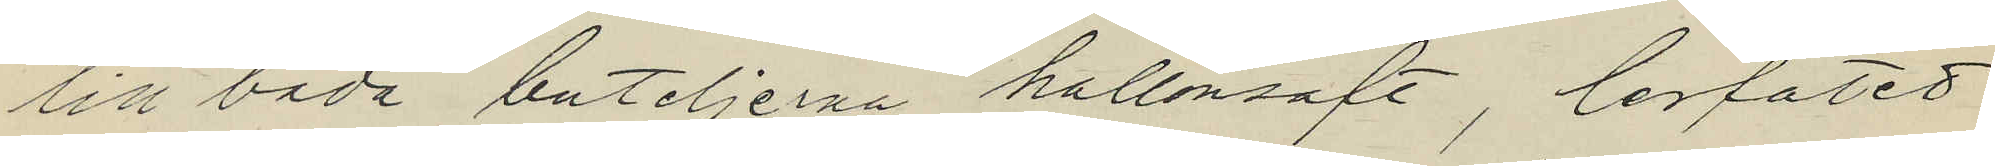till båda buteljerna hallonsaft, lerfatet
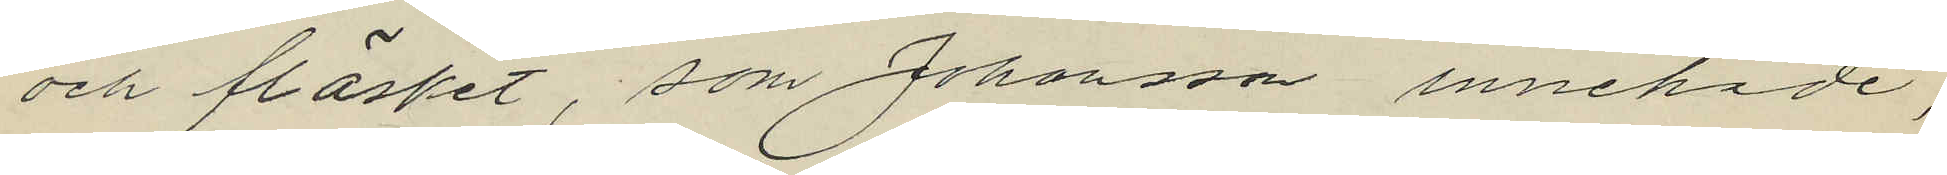och fläsket, som Johansson innehade,
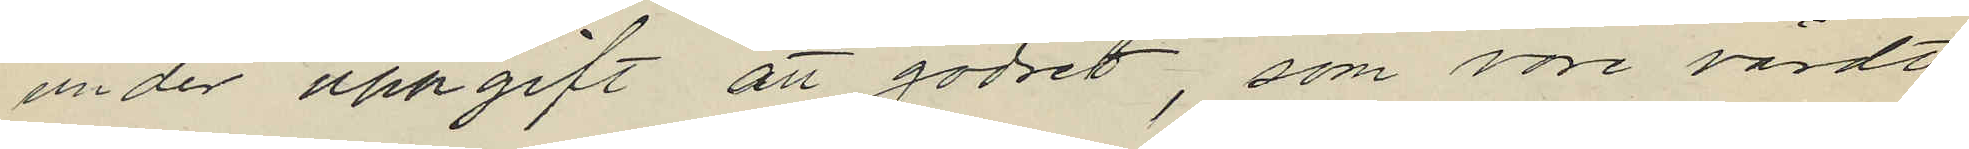under uppgift att godset, som vore värdt
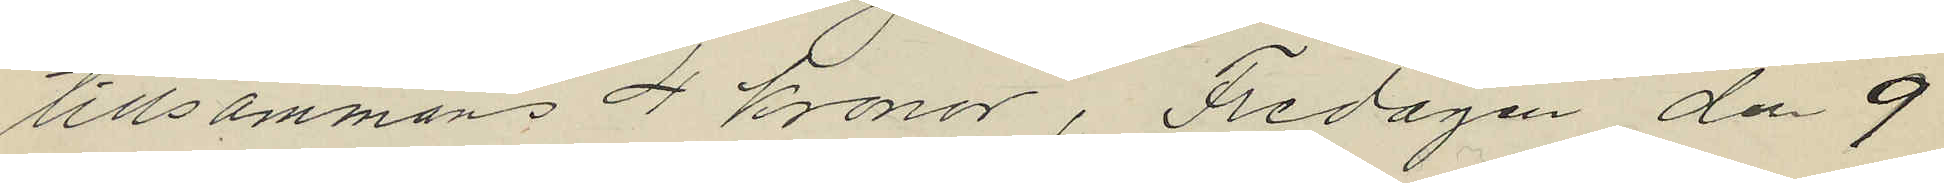tillsammans 4 Kronor, Fredagen den 9
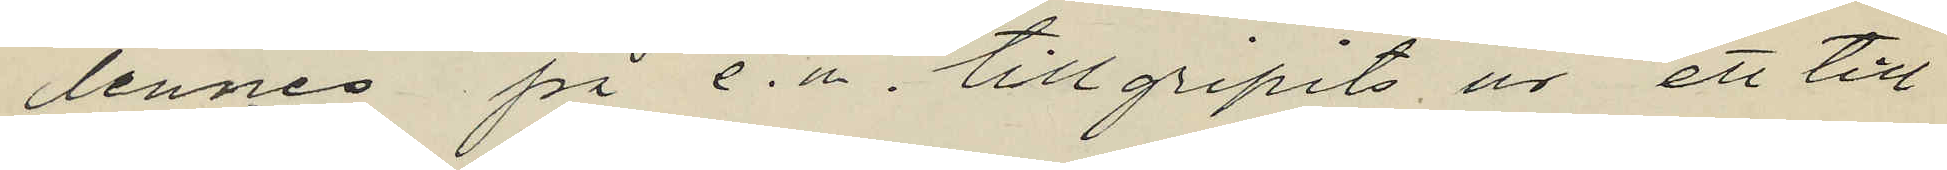dennes på e.m. tillgripits ur ett till
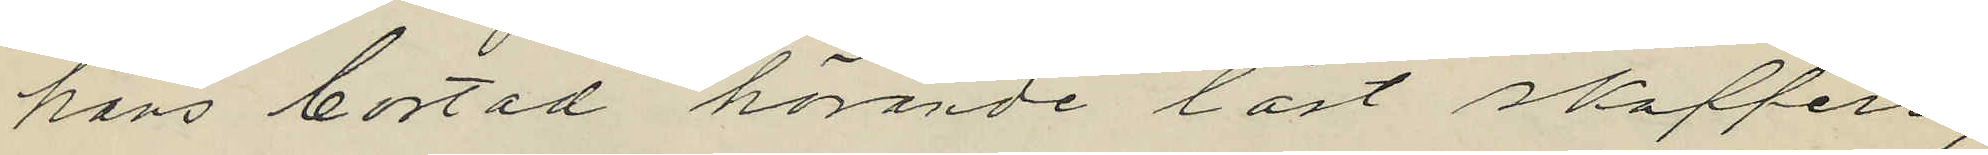hans bostad hörande låst skafferi,
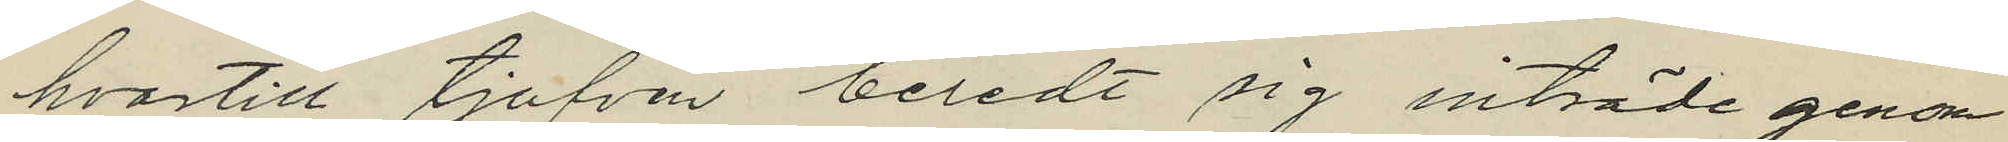hvartill tjufven beredt sig inträde genom
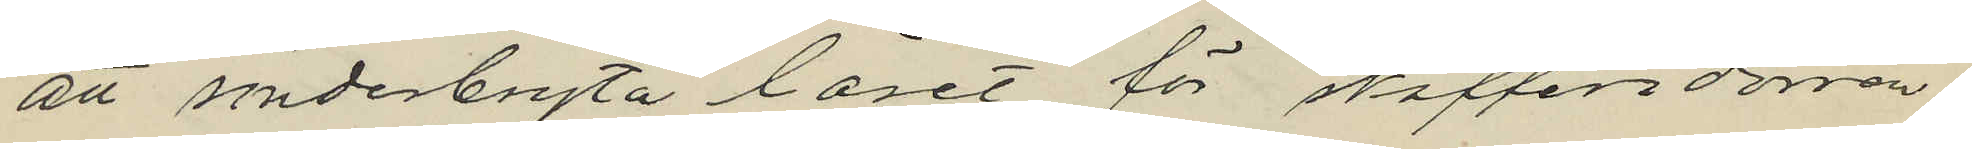att sönderbryta låset för skafferidörren.
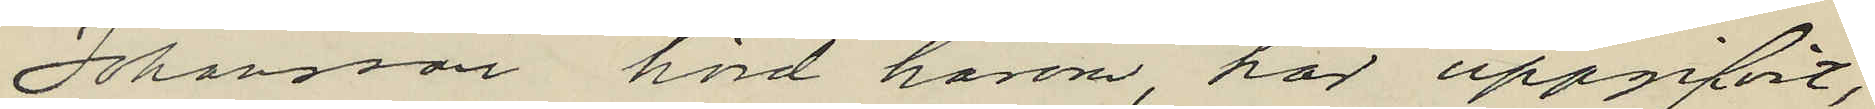Johansson hörd härom, har uppgifvit,
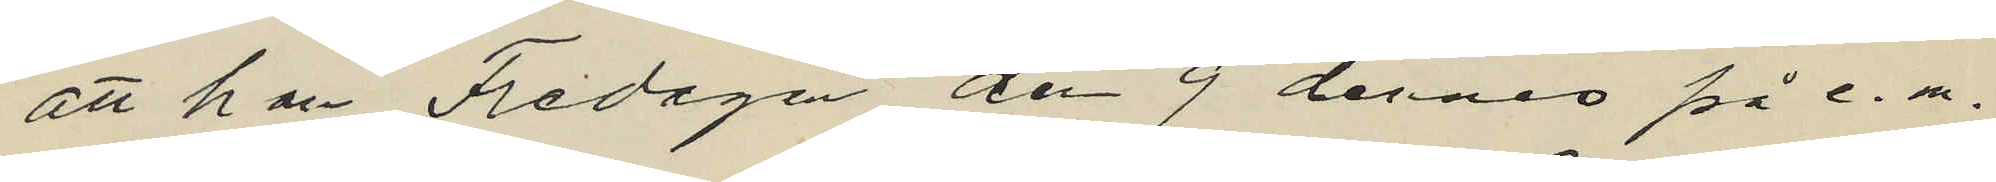att han Fredagen den 9 dennes på e. m.
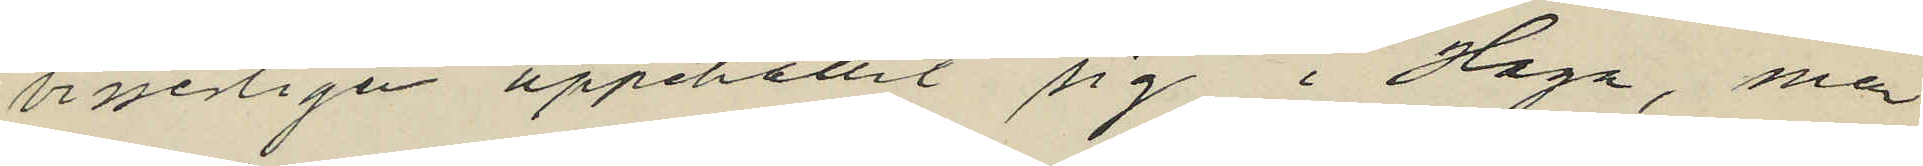visserligen uppehållit sig i Haga, men
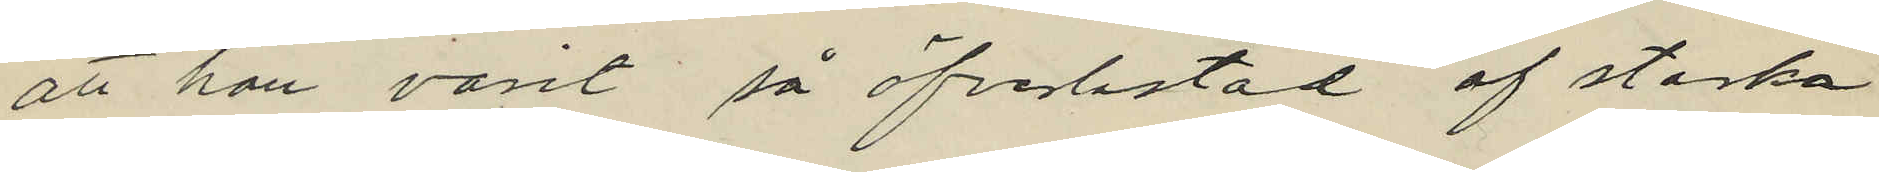att han varit så öfverlastad af starka
